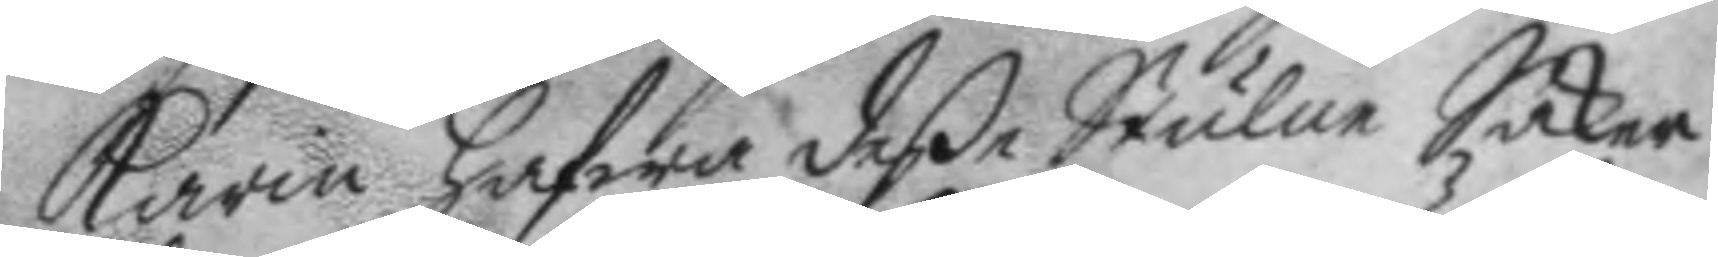Karin hafwa deße Stulne Saker
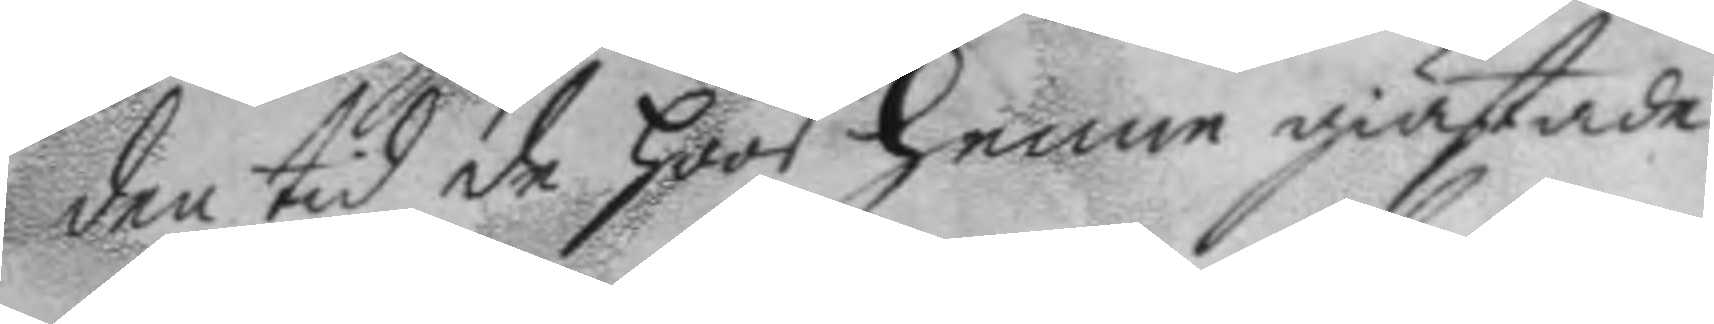den tid de hoos henne giästade
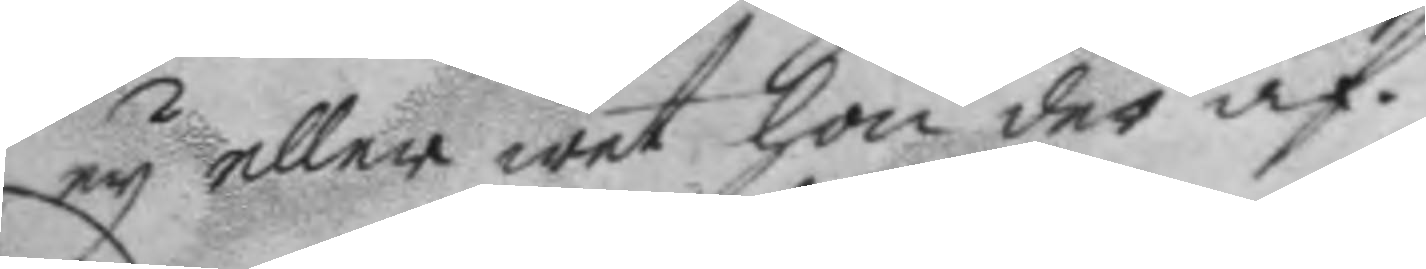ey eller wet hon der af.
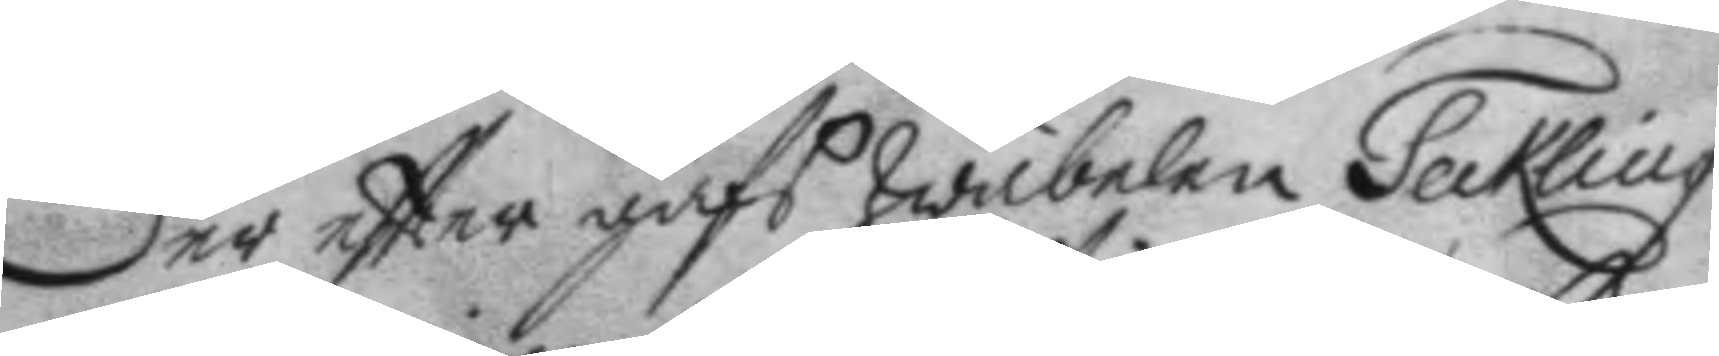Der eftter gafs wäbelen Teckling
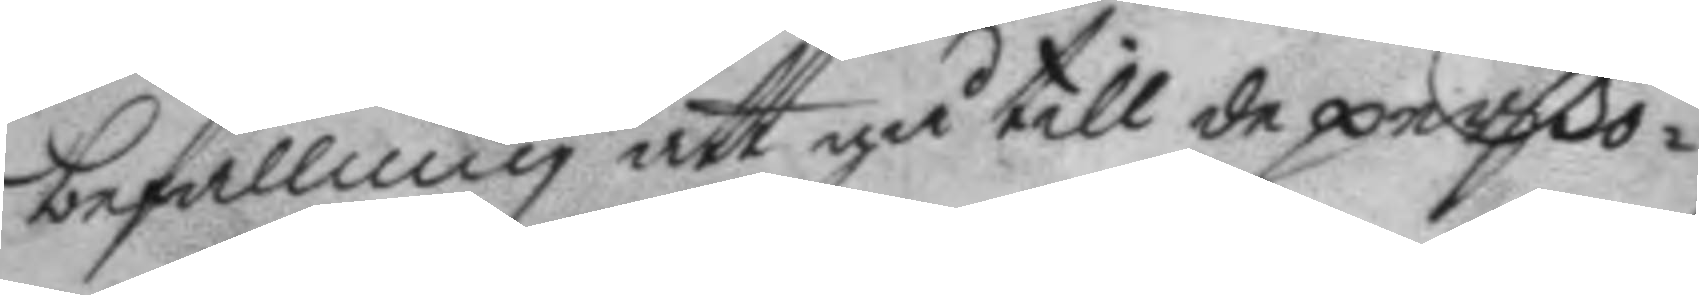befallning att gå till de perßo¬
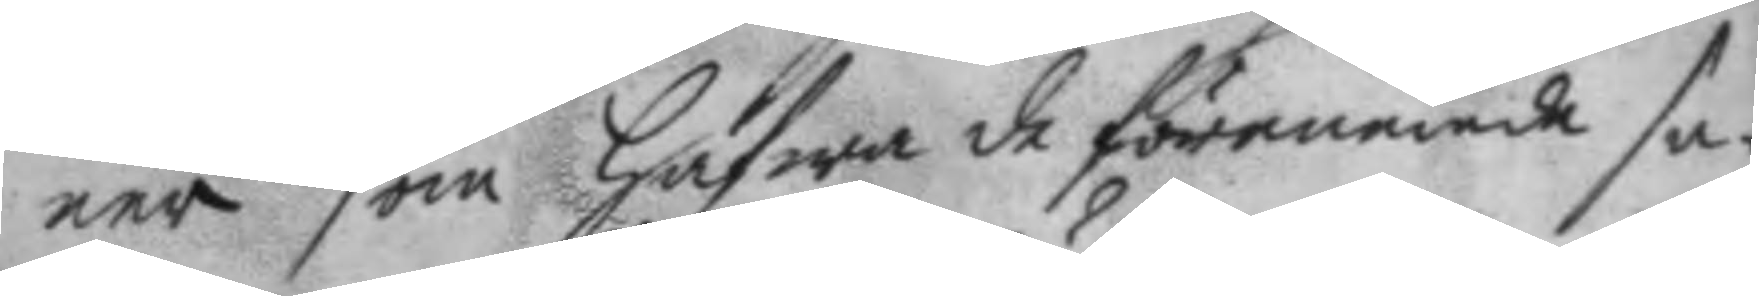ner som hafwa de förenemde sa¬
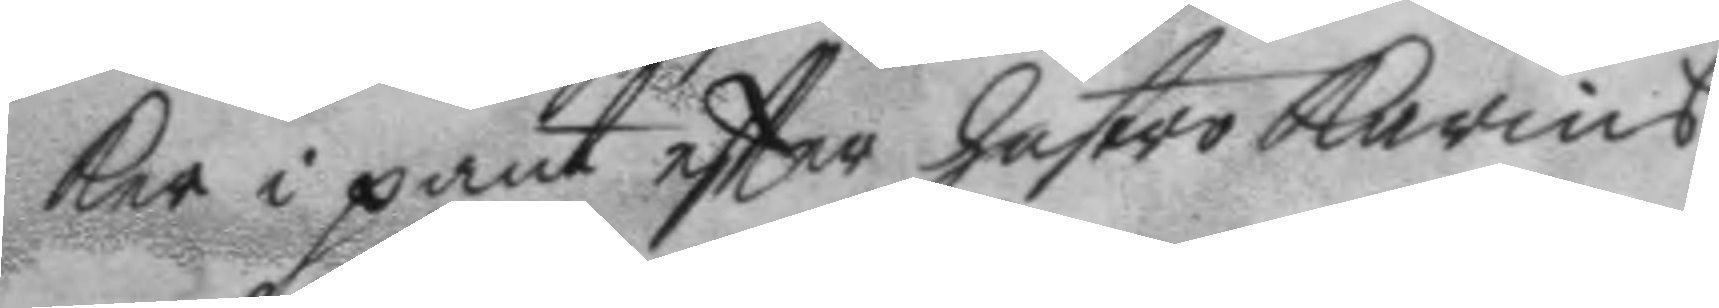ker i pant eftter hustro Karins
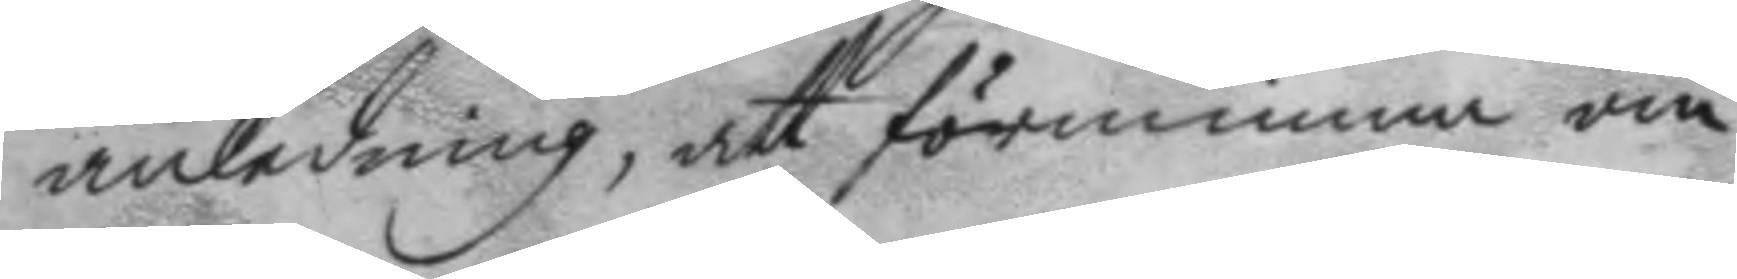anledning, att förnimma om
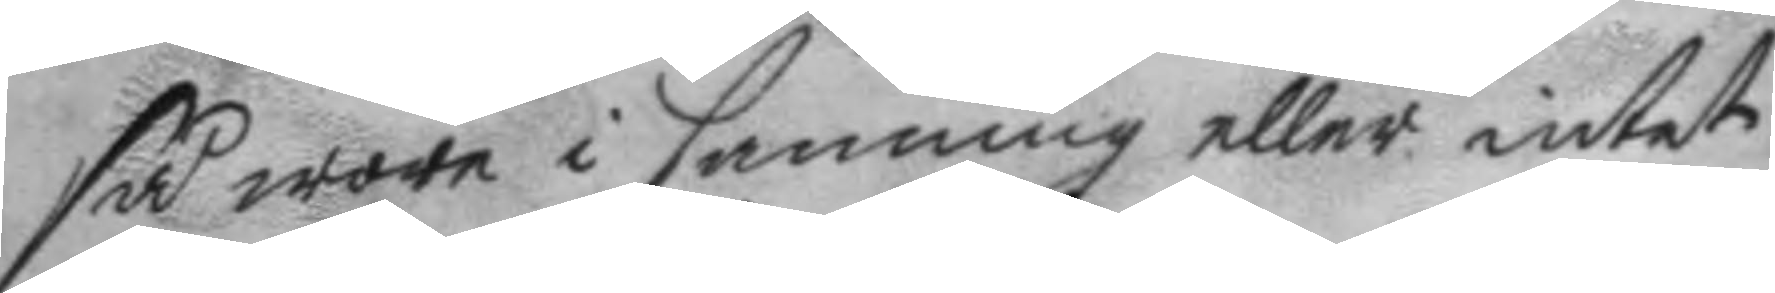så wore i sanning eller intet
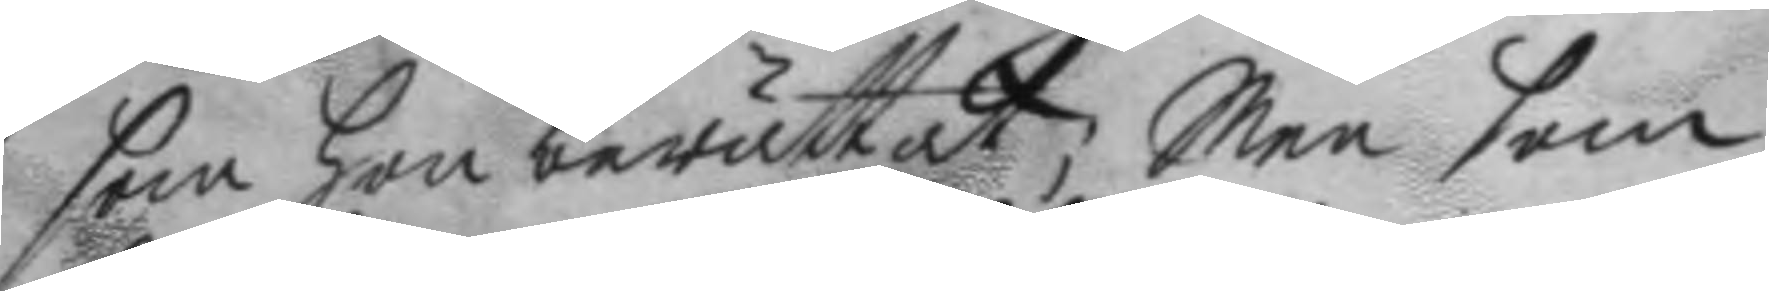som hon berättat; Men som
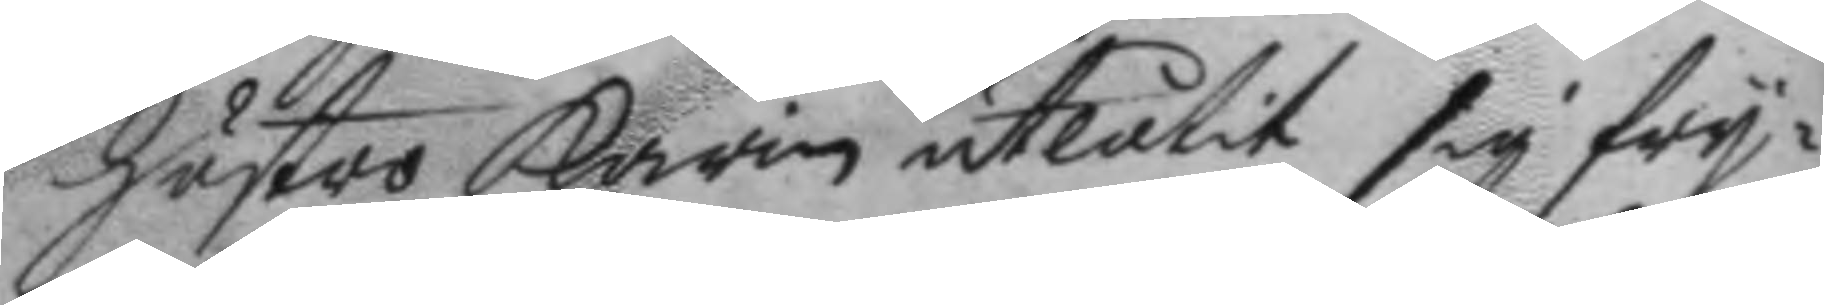hustro karin utlåtit sig fry¬
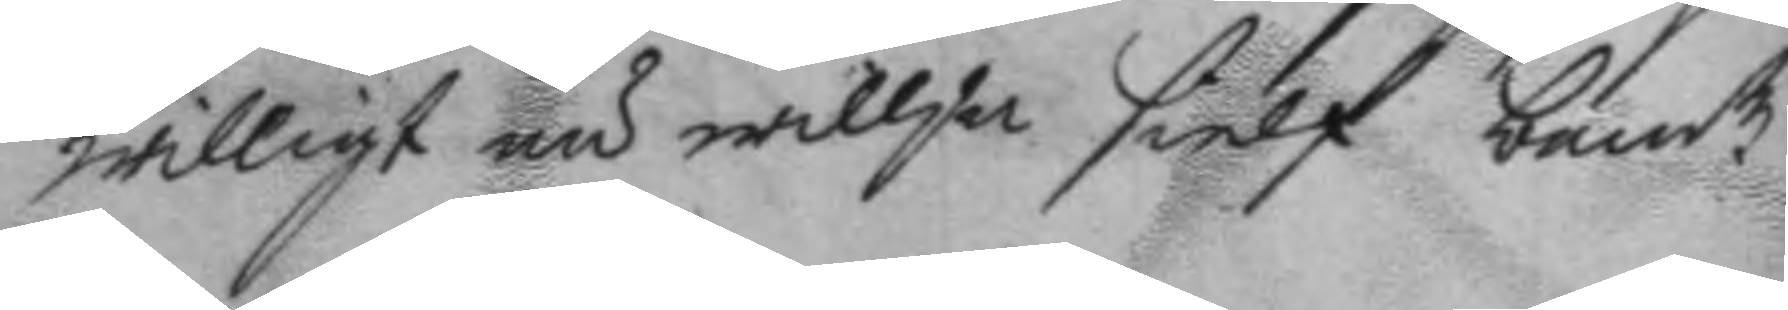willigt nu willja sielf bemte
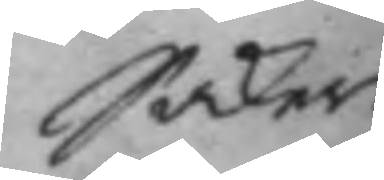Saker
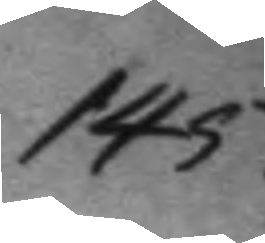145.
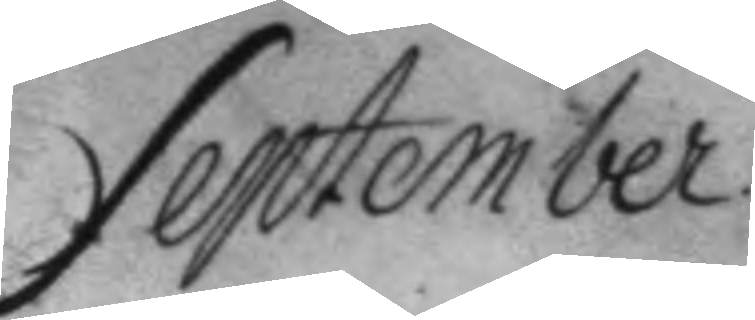September
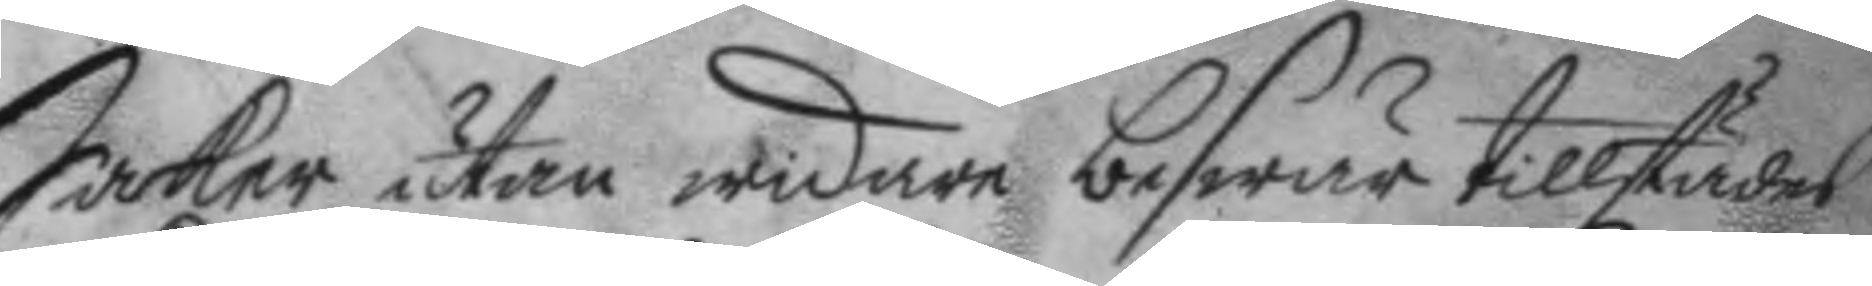Saker utan widare beswär tillstädes
